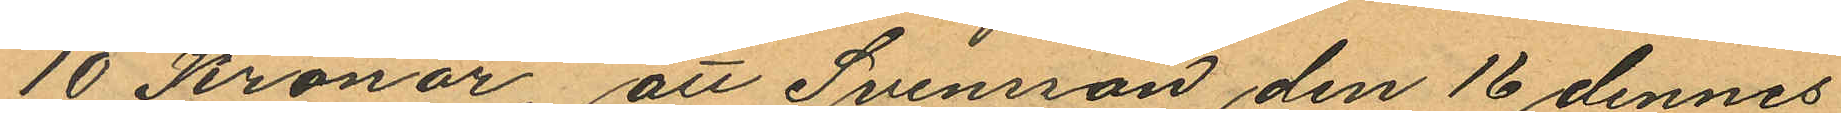10 Kronor, att Svensson den 16 dennes
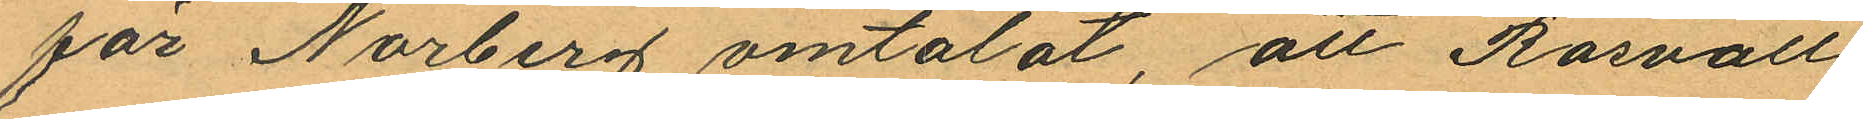för Norberg omtalat, att Rosvall
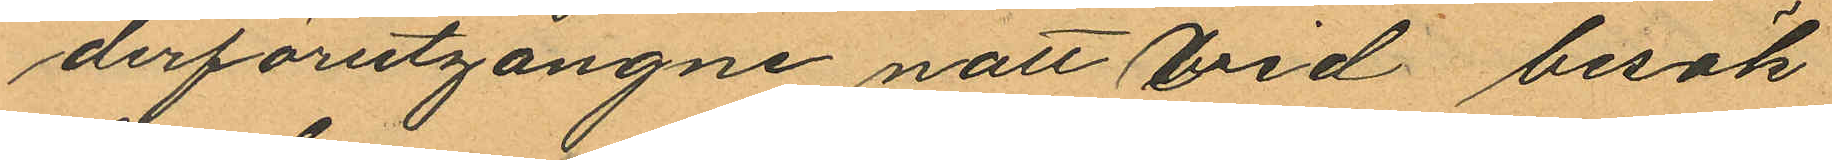derförutgångne natt vid besök
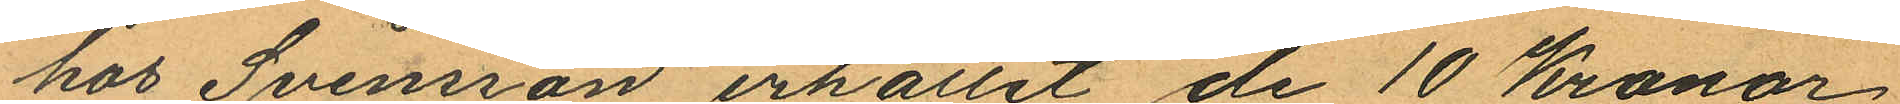hos Svensson erhållit de 10 Kronor,
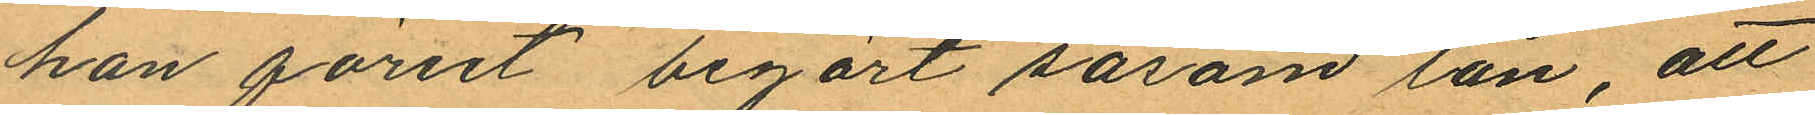han förut begärt såsom lån, att
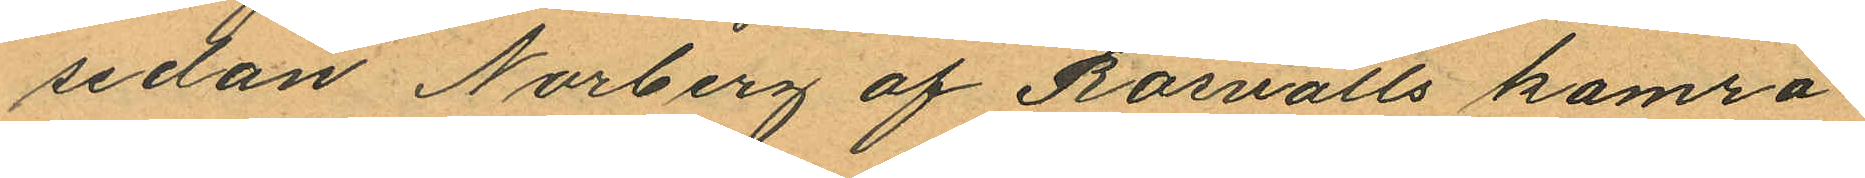sedan Norberg af Rosvalls kamra¬
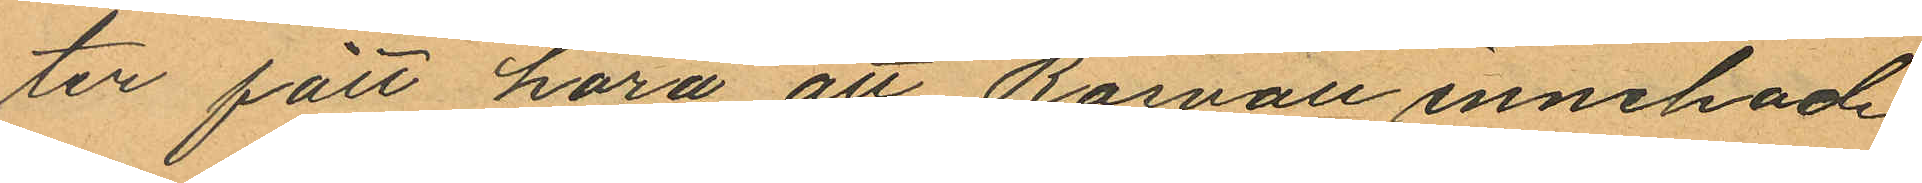ter fått höra att Rosvall innehade
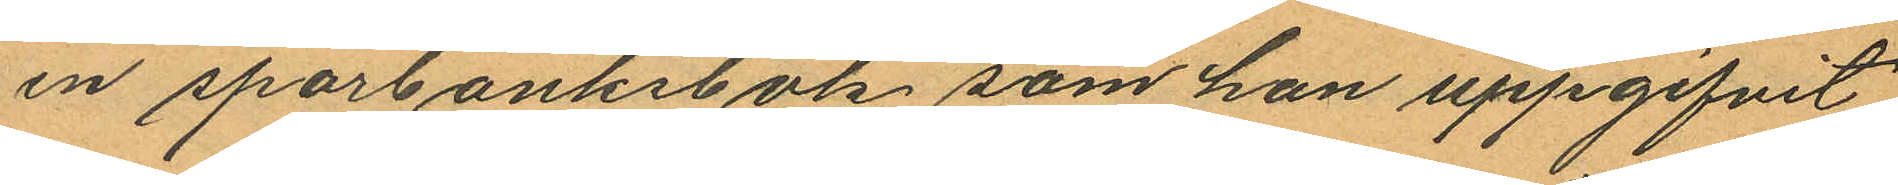en sparbanksbok som han uppgifvit
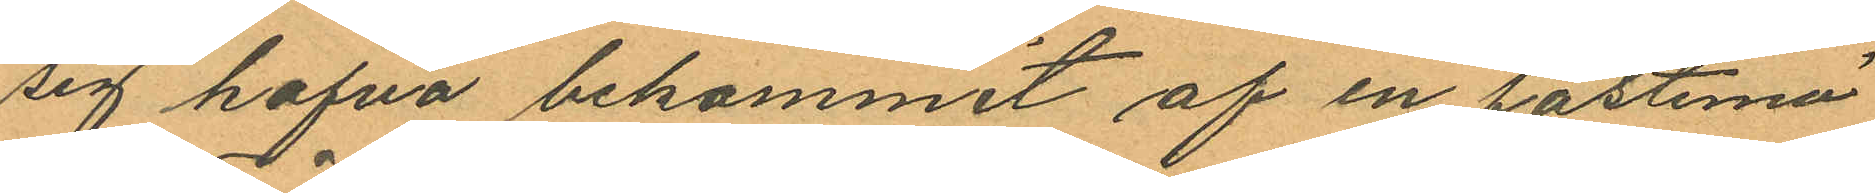sig hafva bekommit af en fästemö
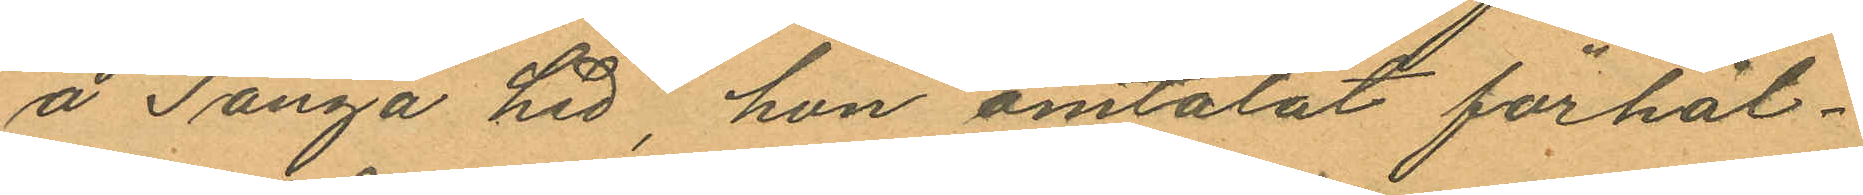å Tånga hed, hon omtalat förhål¬
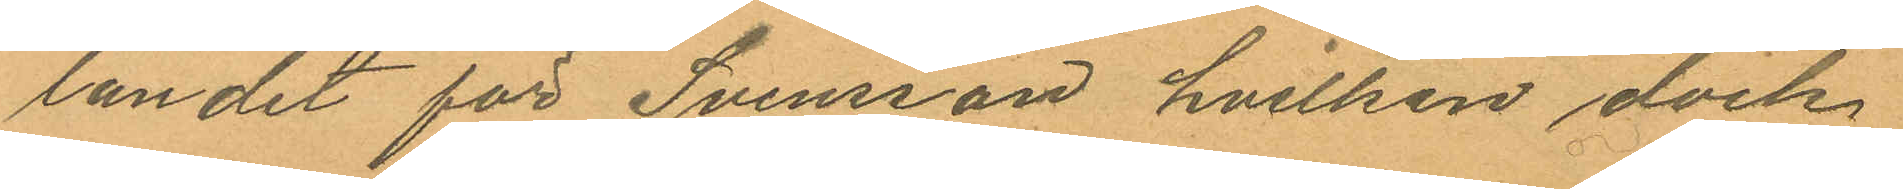landet för Svensson hvilken dock
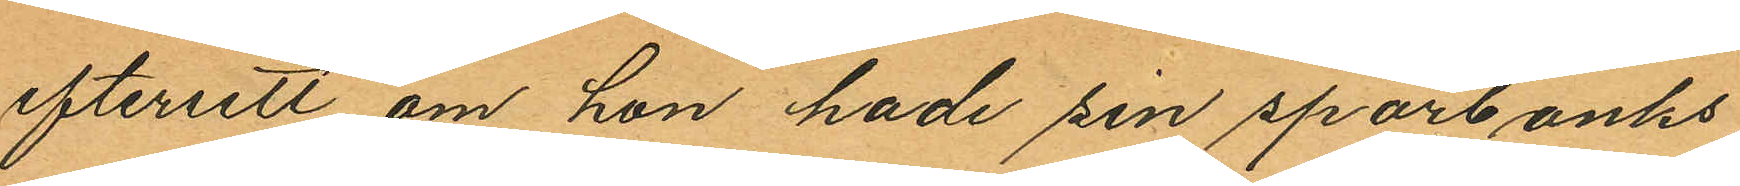eftersett om hon hade sin sparbanks
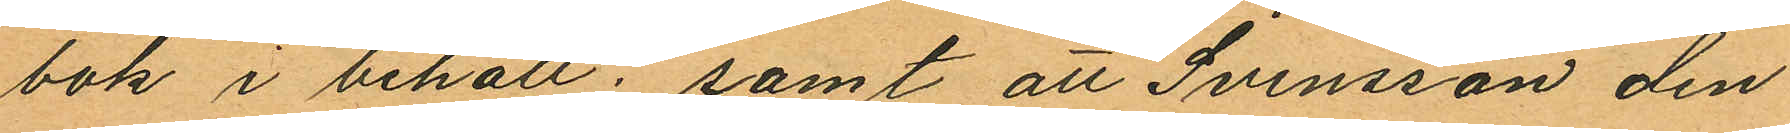bok i behåll; samt att Svensson den
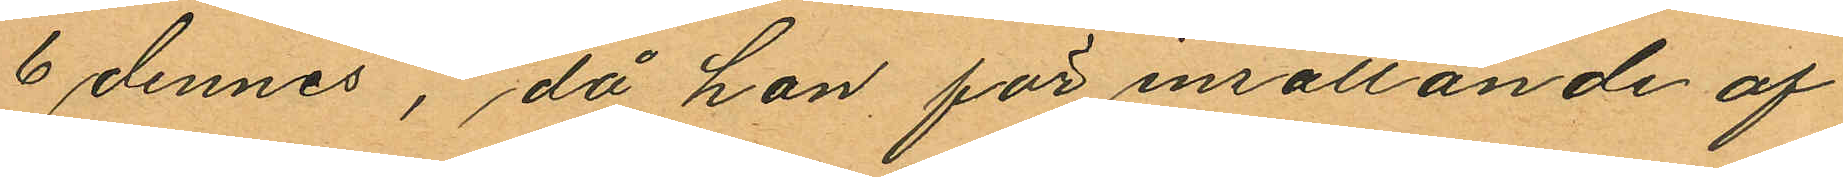6 dennes, då hon för insättande af
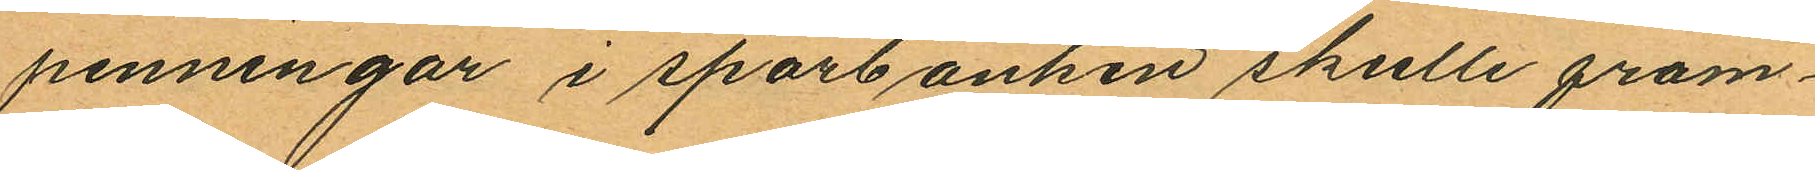penningar i sparbanken skulle fram¬
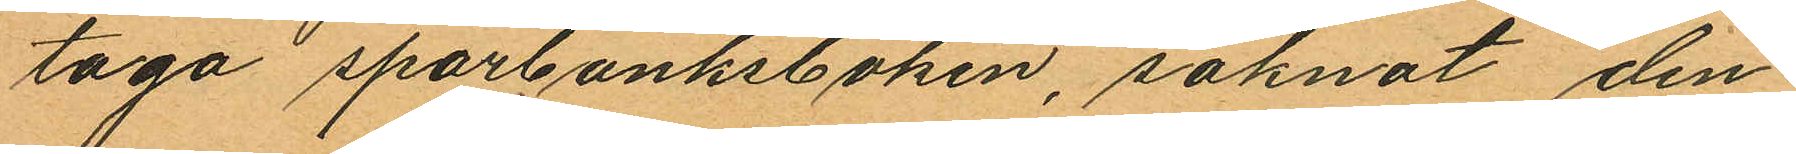taga sparbanksboken, saknat den¬
